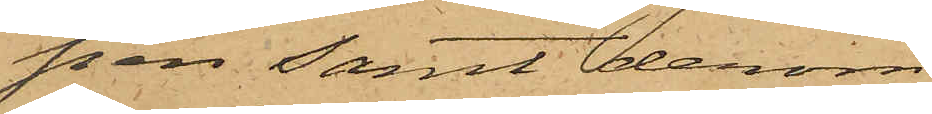pen samt derom
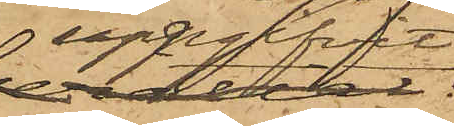uppgifvit:
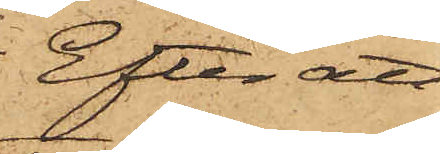Efter att
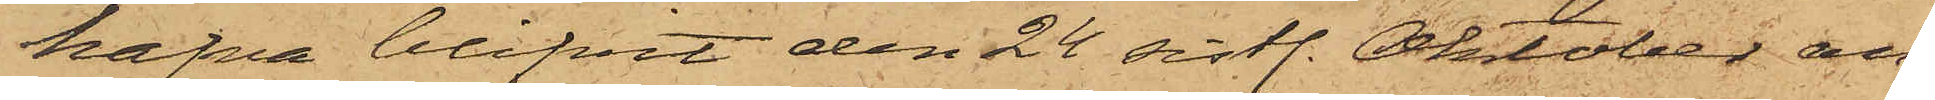hafva blifvit den 24 sistl. Oktober an¬
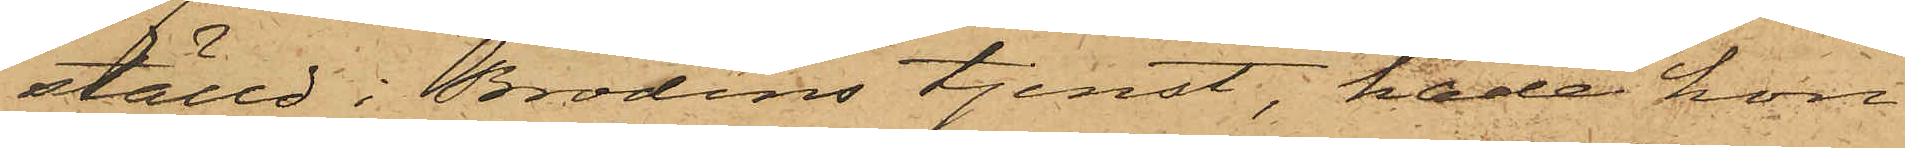ställd i Brodins tjenst, hade hon
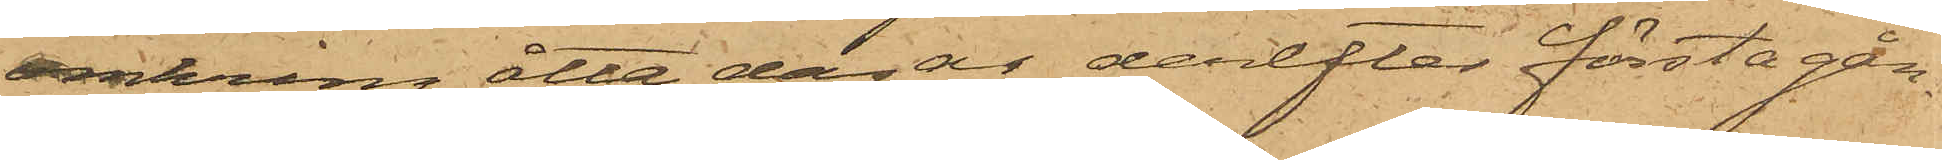omkring åtta dagar derefter första gån¬
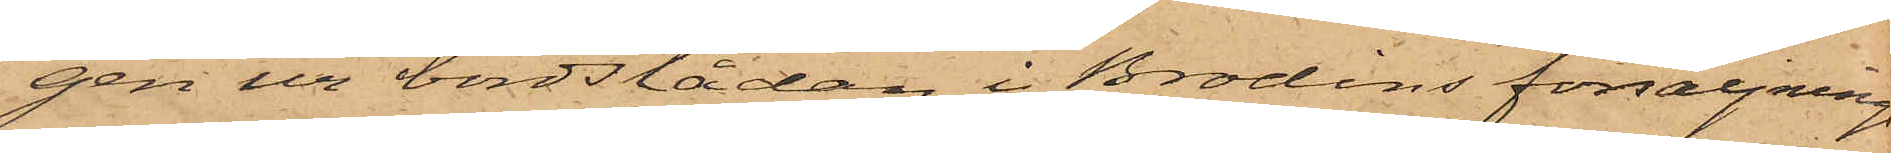gen ur bordslådan i Brodins försäljnings¬
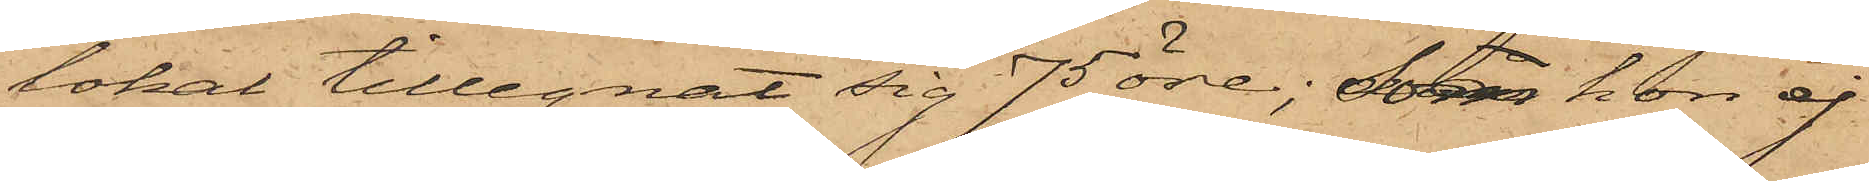lokal tillegnat sig 75 öre; Som hon ej
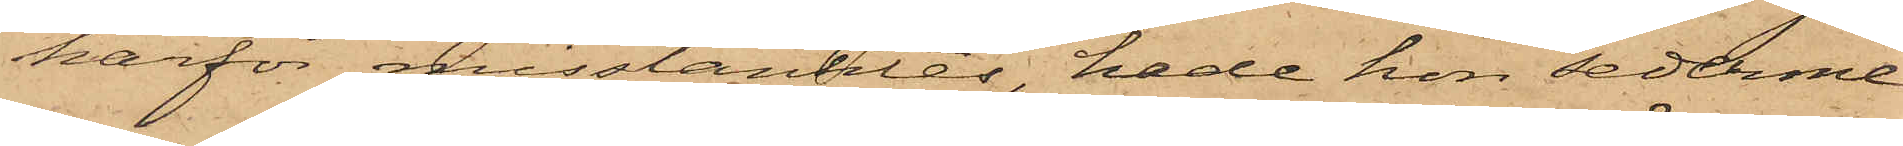härför misstänktes, hade hon sederme¬
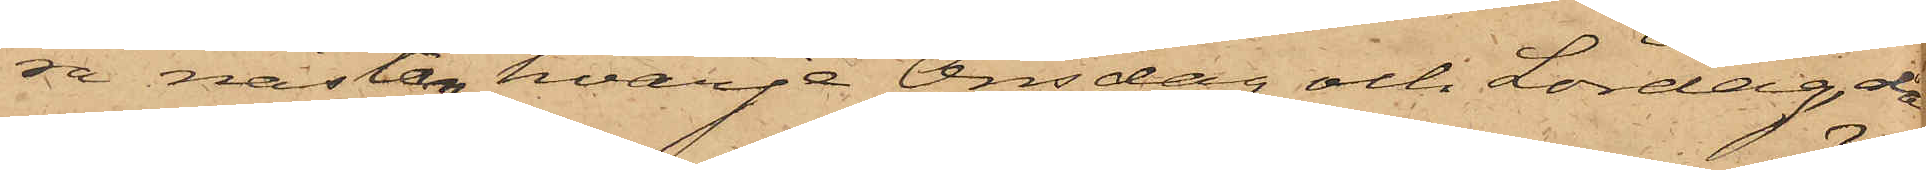ra nästan hvarje Onsdag och Lördag, då
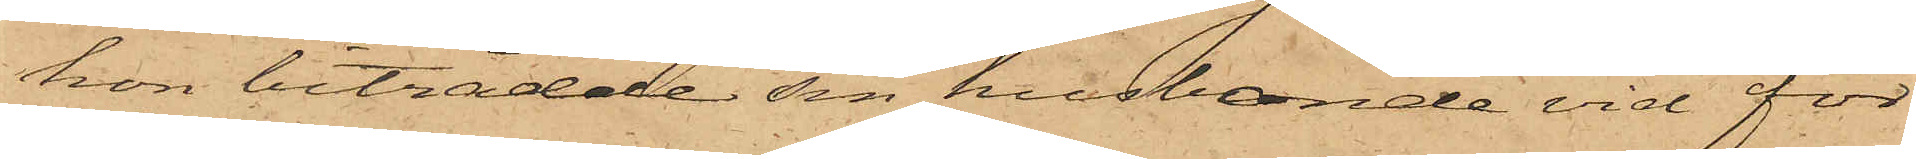hon biträdde sin husbonde vid för¬
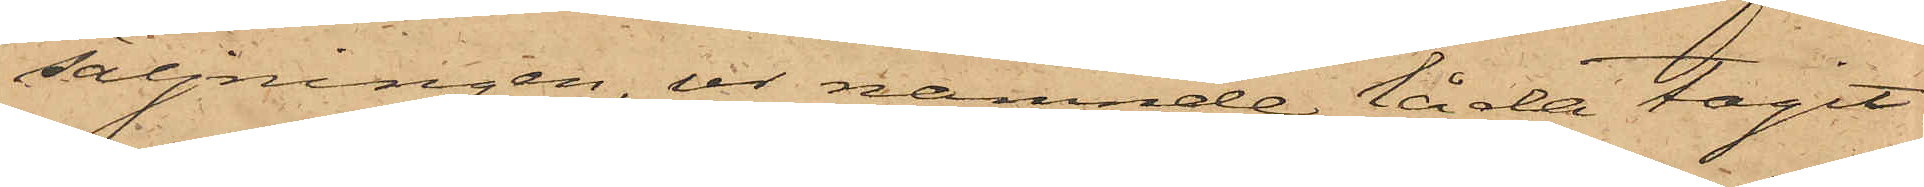säljningen, ur nämnde låda tagit
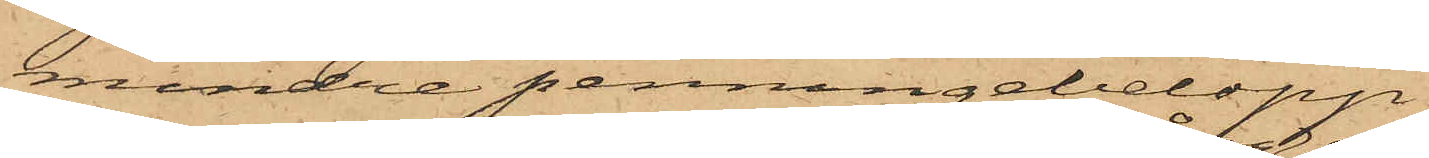mindre penningebelopp
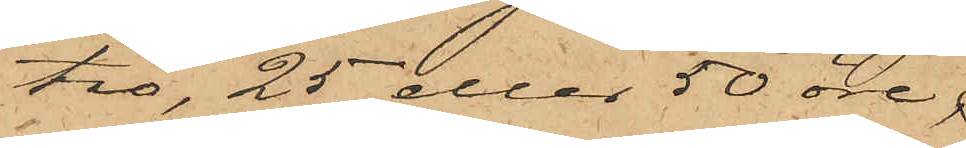tio, 25 eller 50 öre
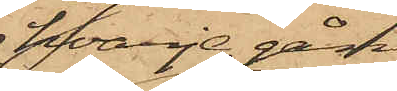hvarje gång;
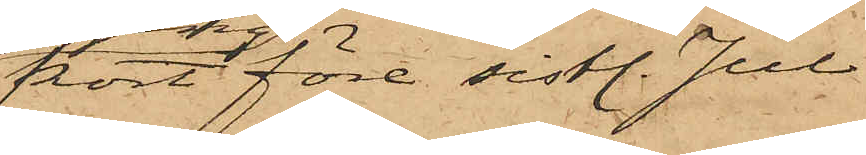kort före sistl. Jul
